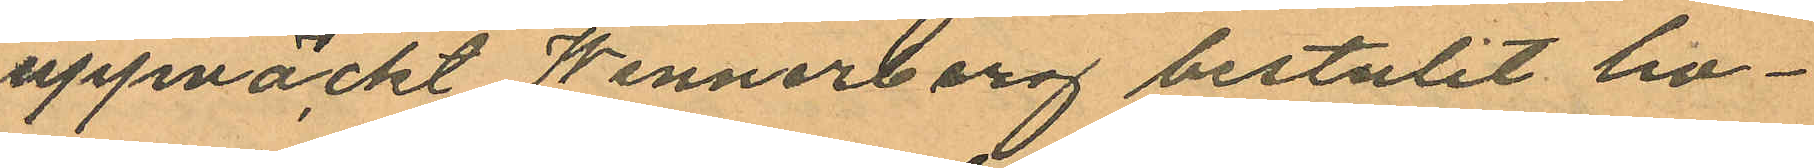uppväckt Wennerberg bestulit ho¬
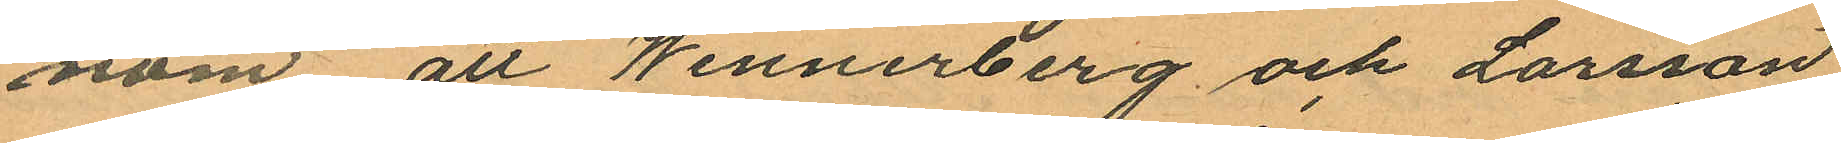nom att Wennerberg och Larsson
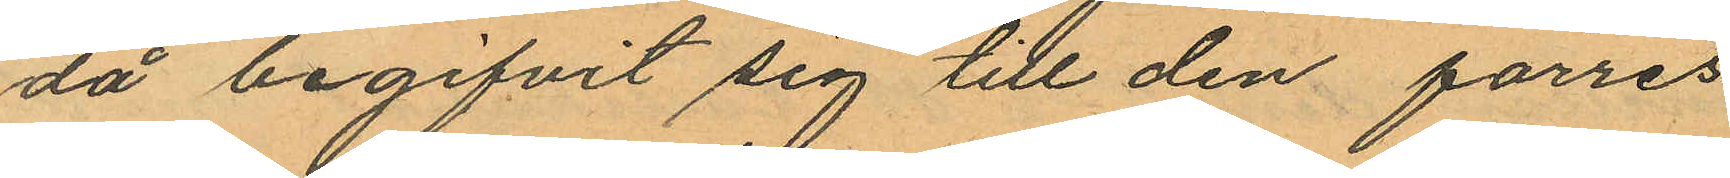då begifvit sig till den förres
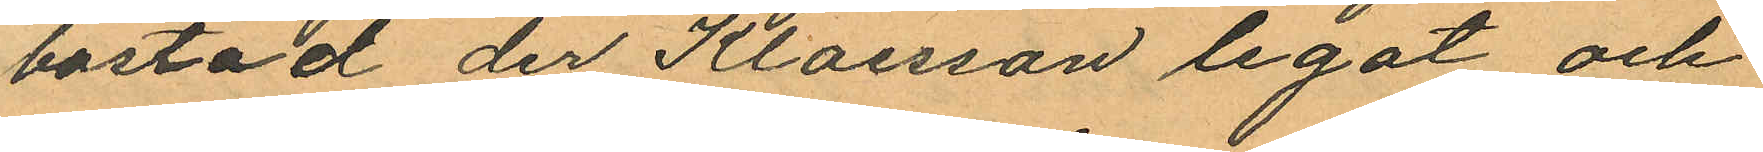bostad der Klaesson legat och
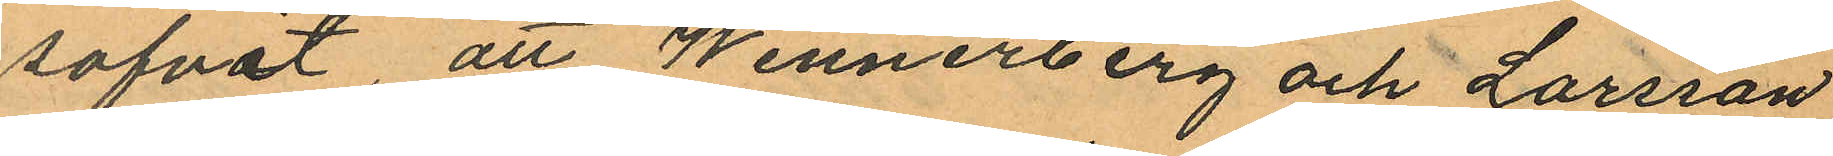sofvit att Wennerberg och Larsson
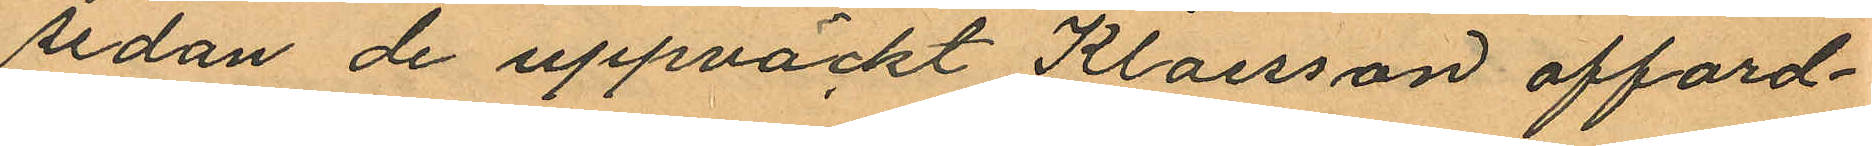sedan de uppväckt Klaesson afford¬
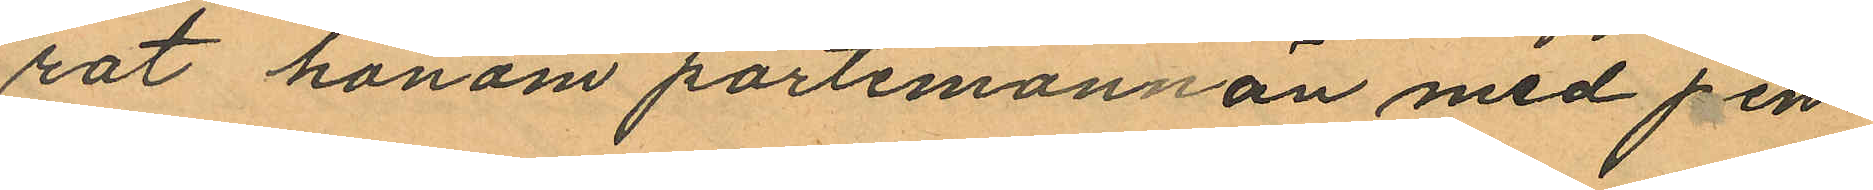rat honom portemonnän med pen¬
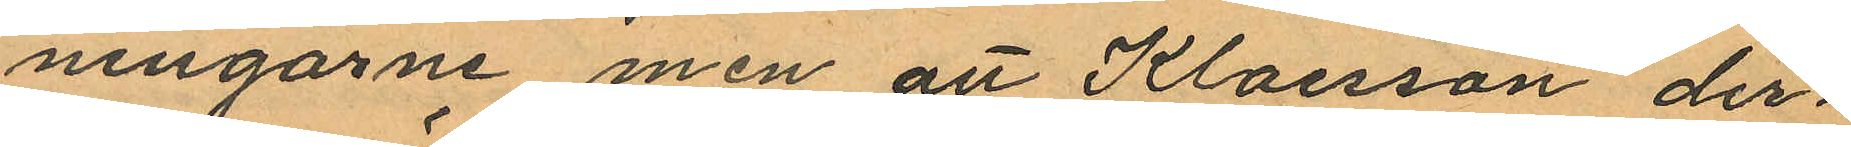ningarne men att Klaesson der¬
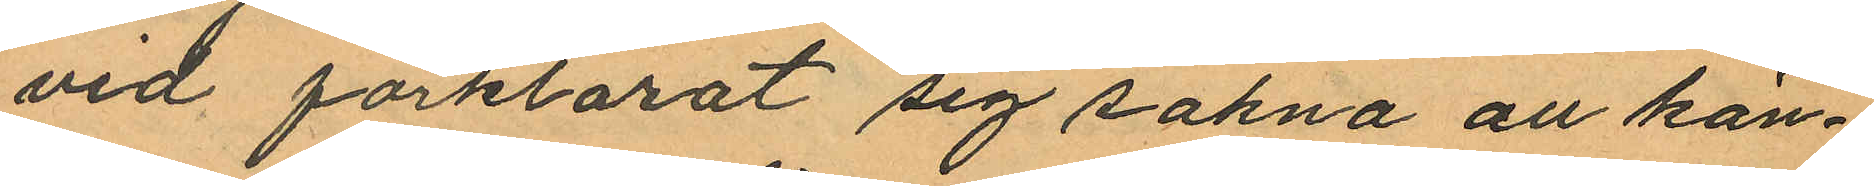vid förklarat sig sakna all kän¬
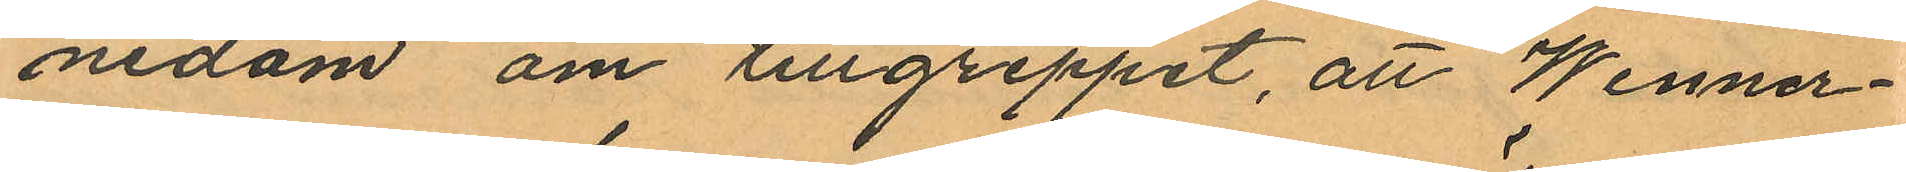nedom om tillgreppet, att Wenner¬
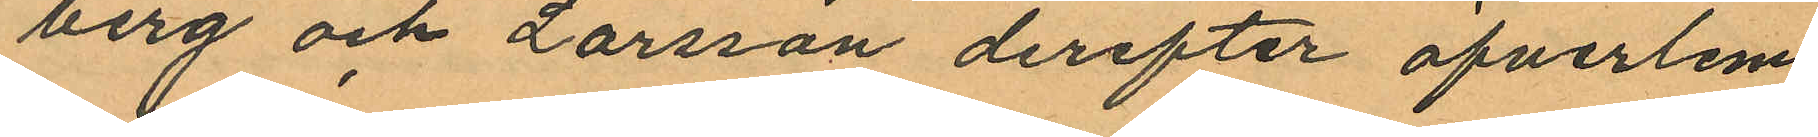berg och Larsson derefter öfverlem
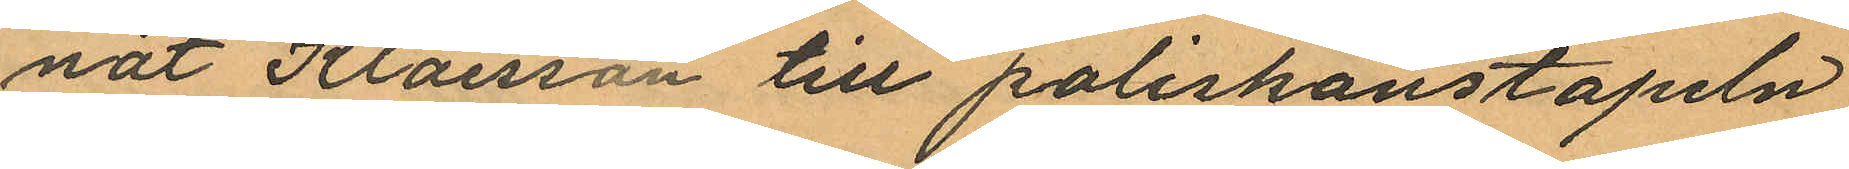nat Klaesson till poliskonstapeln
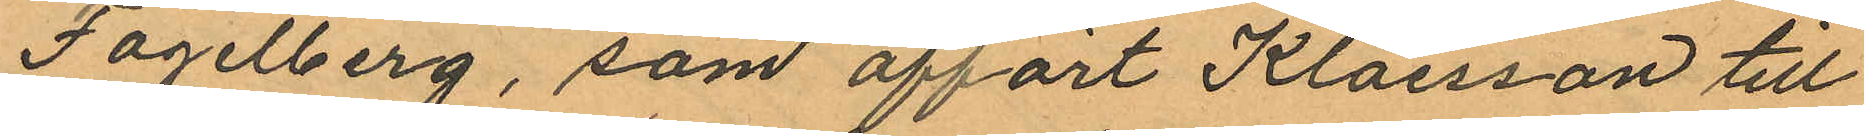Fogelberg, som affört Klaesson till
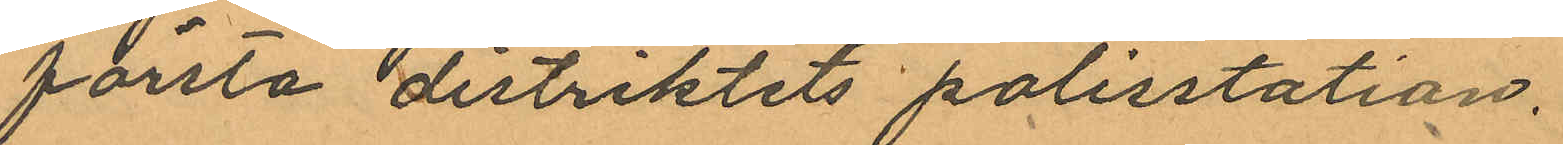första distriktets polisstation.
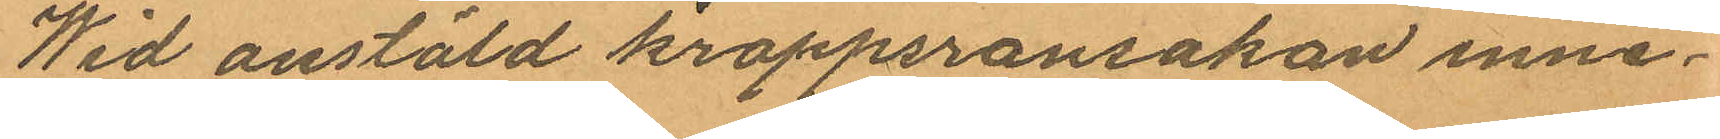Wid anstäld kroppsransakan inne¬
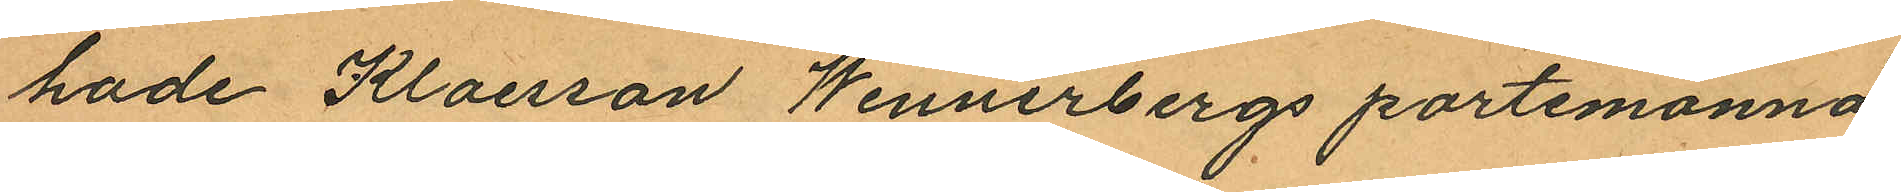hade Klaesson Wennerbergs portemonnä
